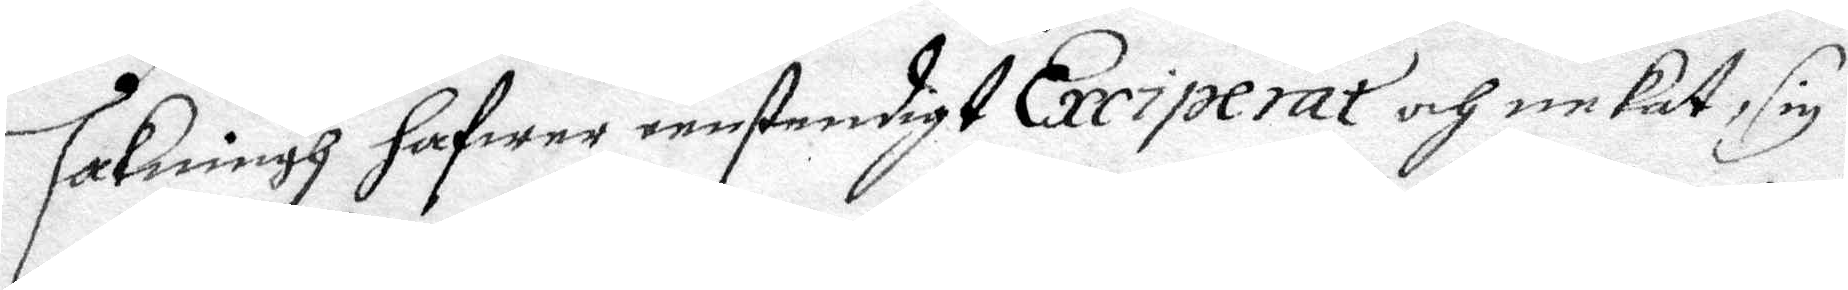sakningh hafwer eenstendigt Exciperat och nekat, sig
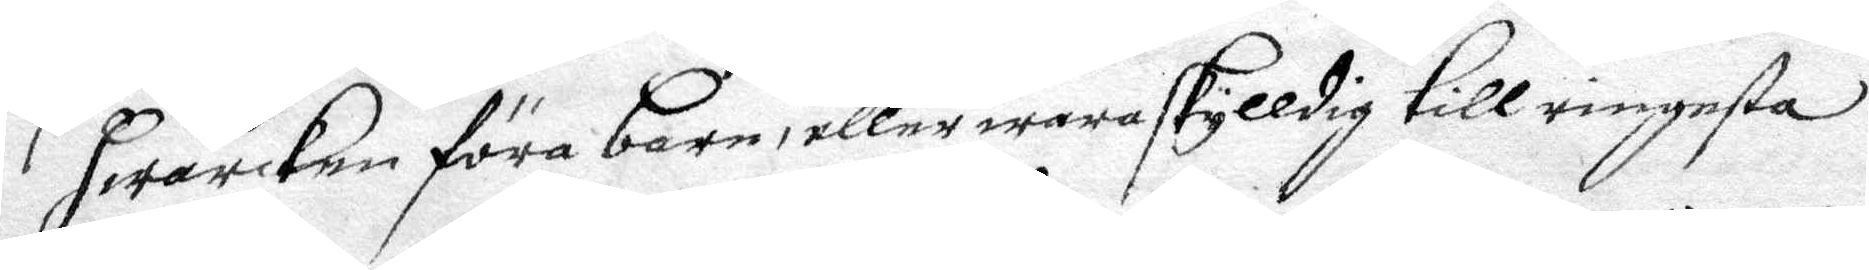hwarken föra barn, eller mera skyldig till ringaste
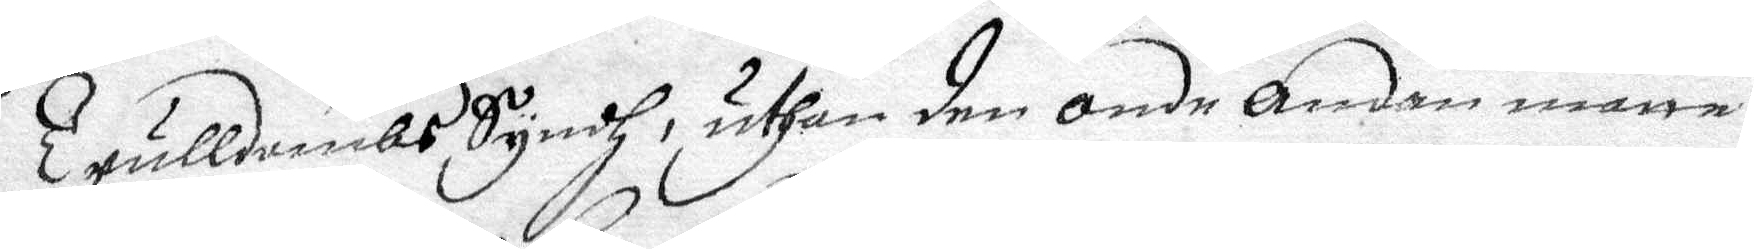Trulldombs Syndh, uthan den onde Andan måtte
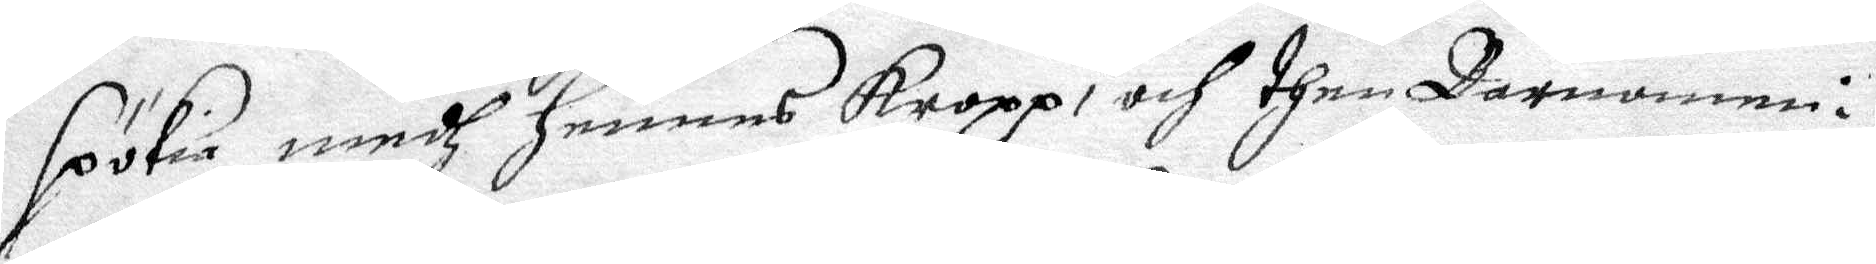spölia medh hennes Kropp: och then Barnonne i
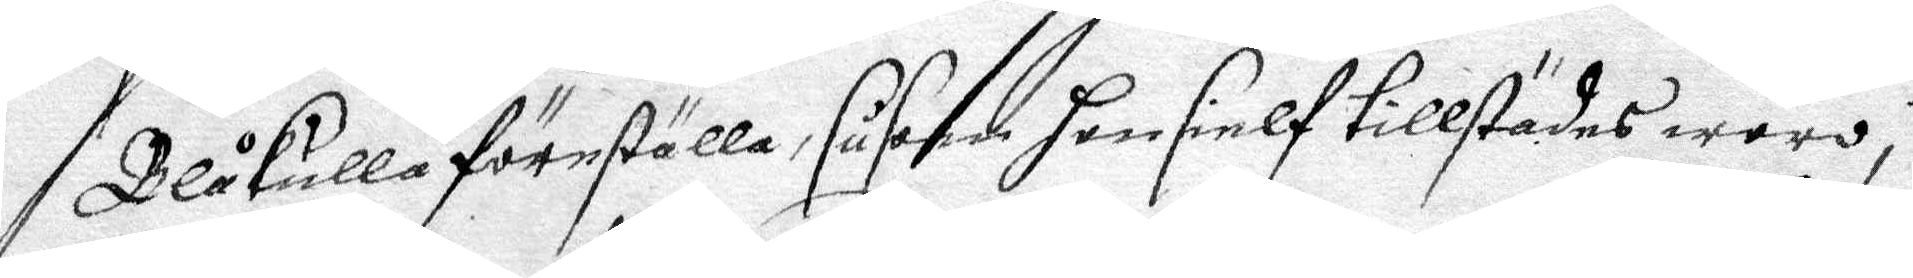Blåkulla föreställa, såsom hon silf tillstädes woro
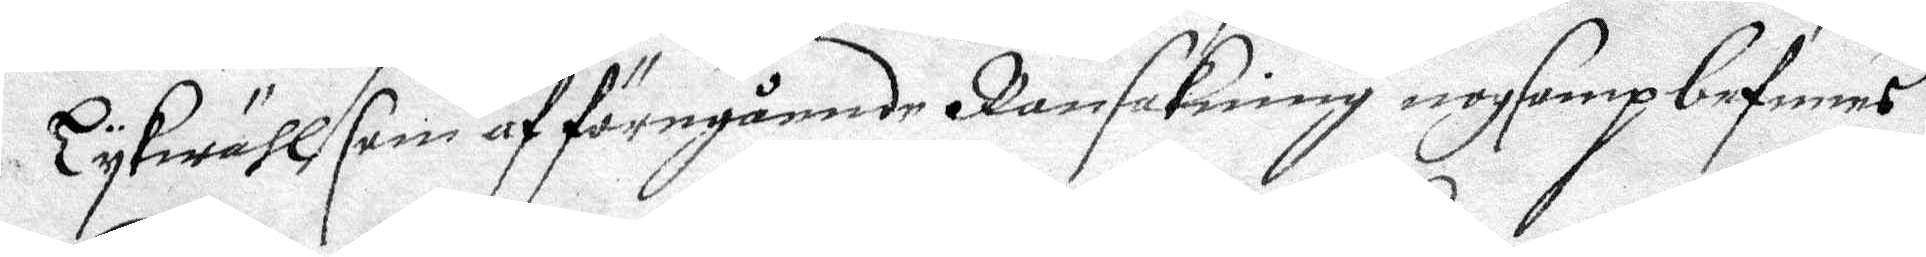Lykwähl som af föregående Ransakning nogsamp befinnes
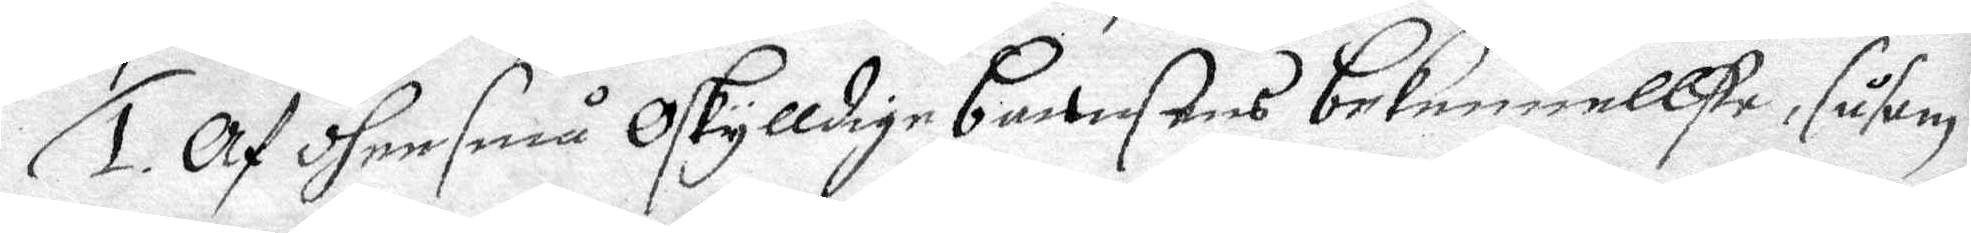1. Af dhee små Oskylldige barnsens bekennellse, såsom 
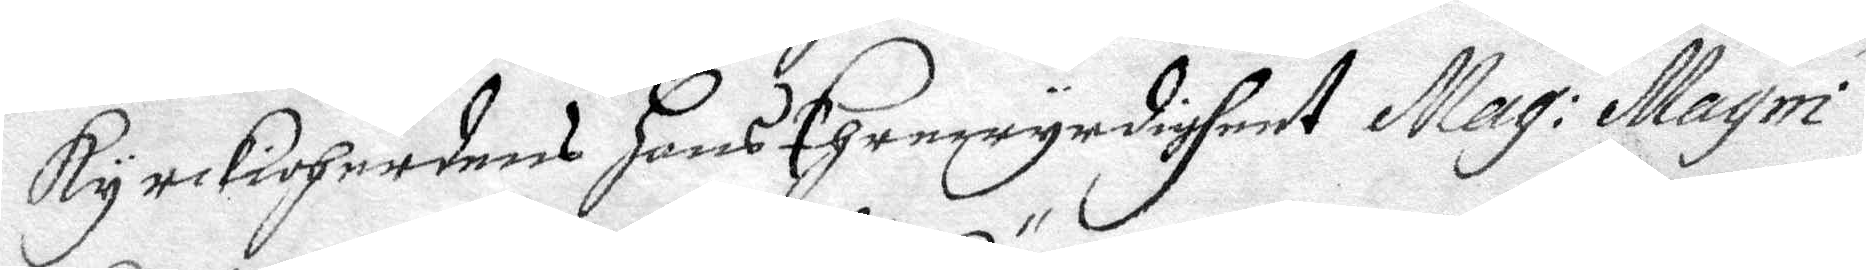Kyrckioherdens hans Ehrenwyrdigheet Mag: Magni
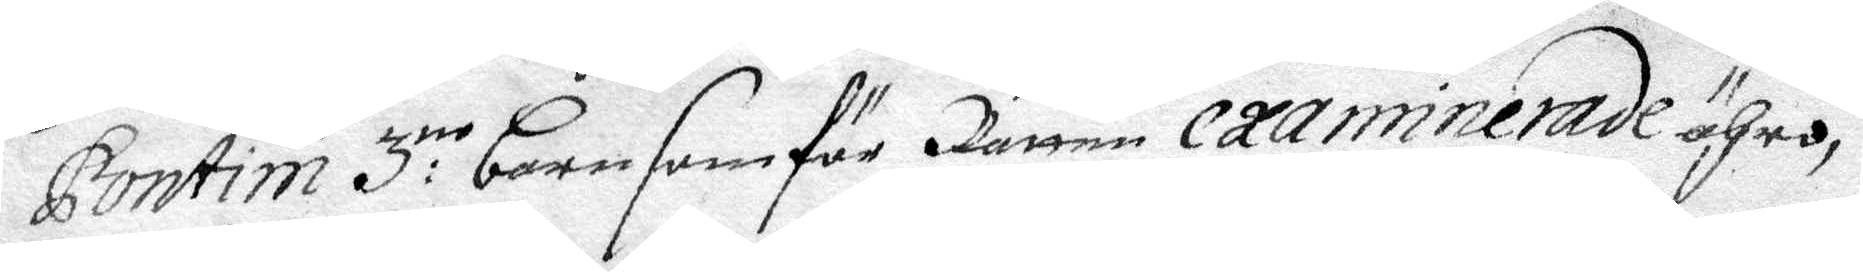Pontini 3:ne barn som för Rätten examinerade ähro,
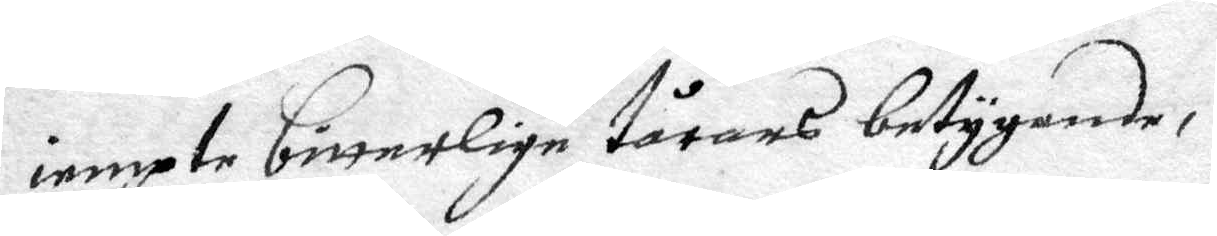iempte bitterlige tårars betygande,
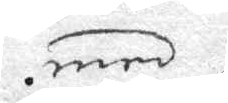med
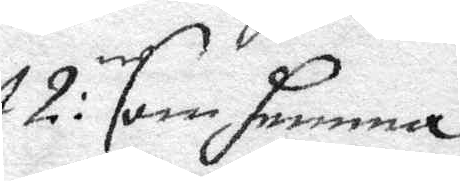2:ne som hemma
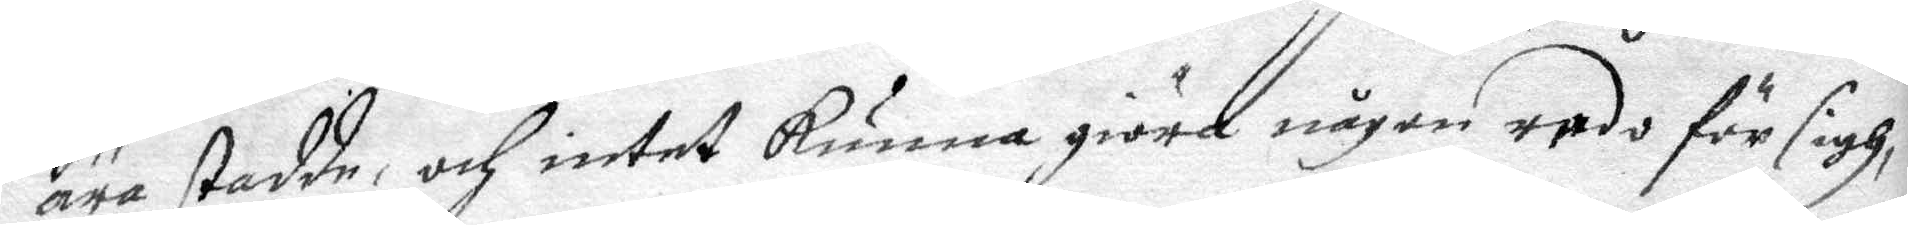äre stadde, och intet kunna giöra någon redo för sigh,
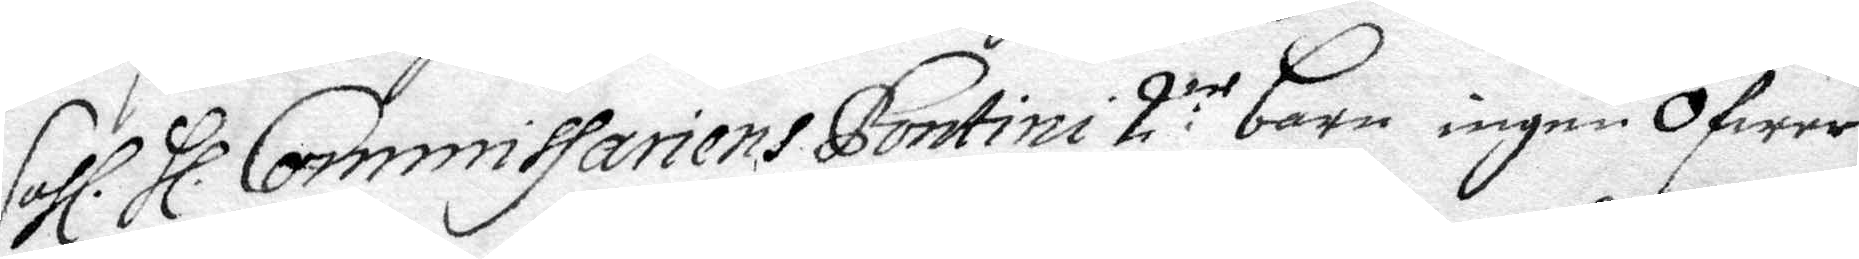Sahl. Hl. Commissariens Pontini 2:ne barn ingen Öfwer
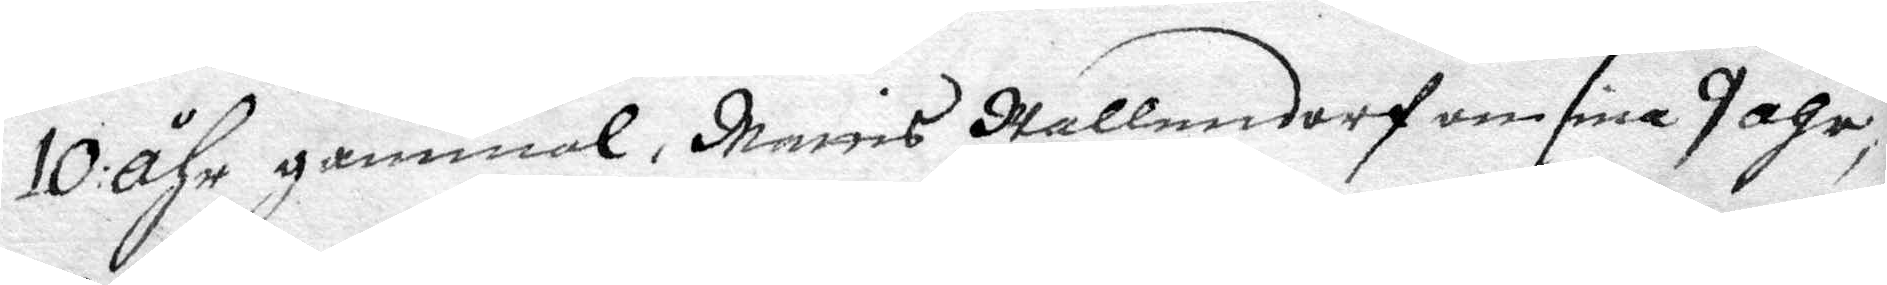10 åhr gammal, Maris Hallendorf om sine 9 åhr,
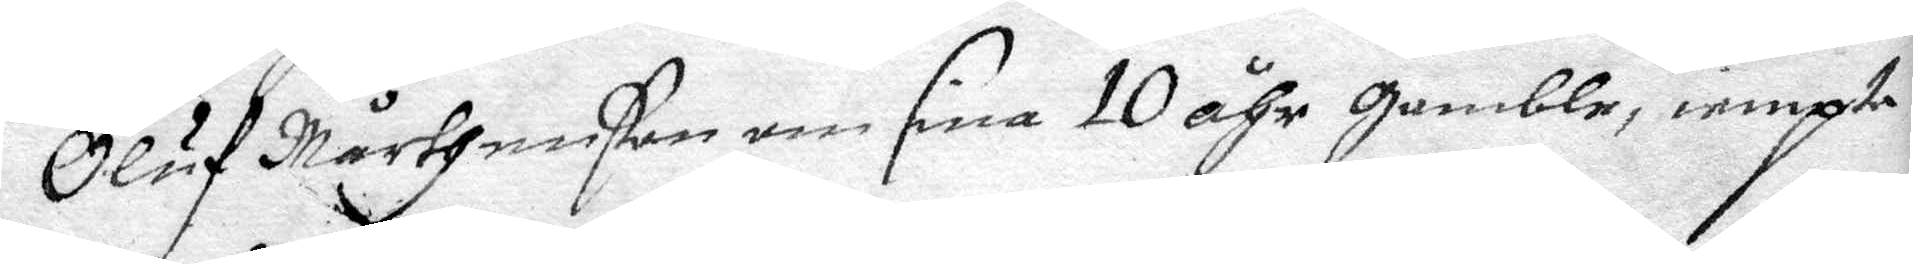Oluf Mårtenßon om sine 10 åhr gamble, iempte
